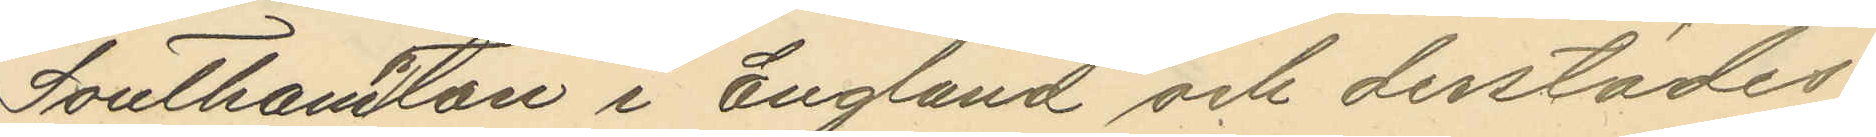Southampton i England och derstädes
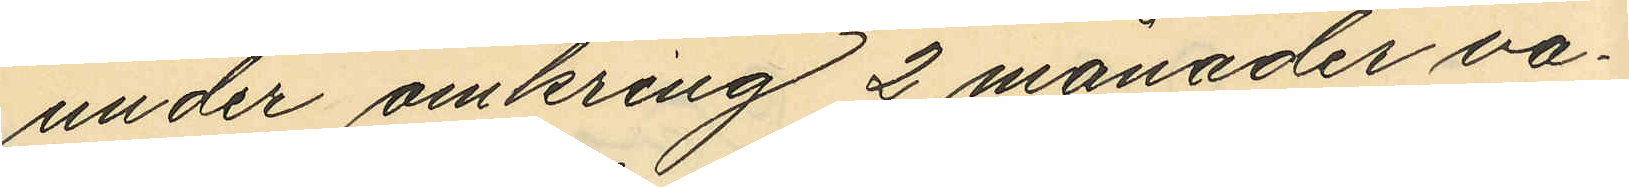under omkring 2 månader va¬
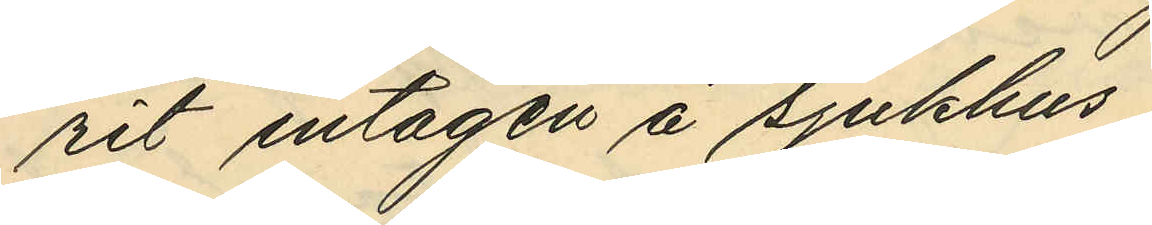rit intagen å sjukhus;
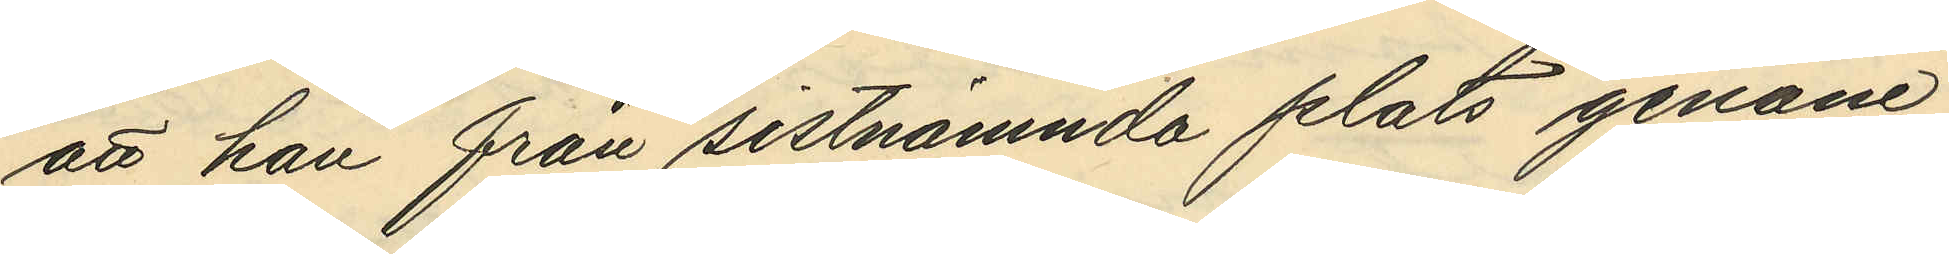att han från sistnämnda plats genom
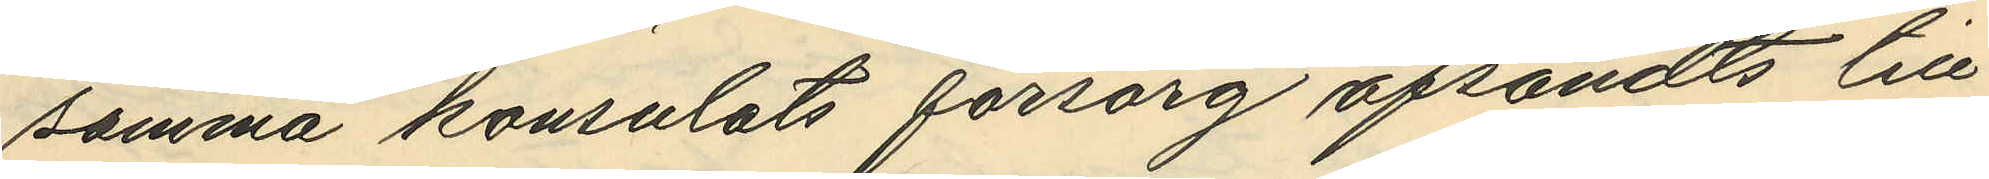samma konsulats försorg afsändts till
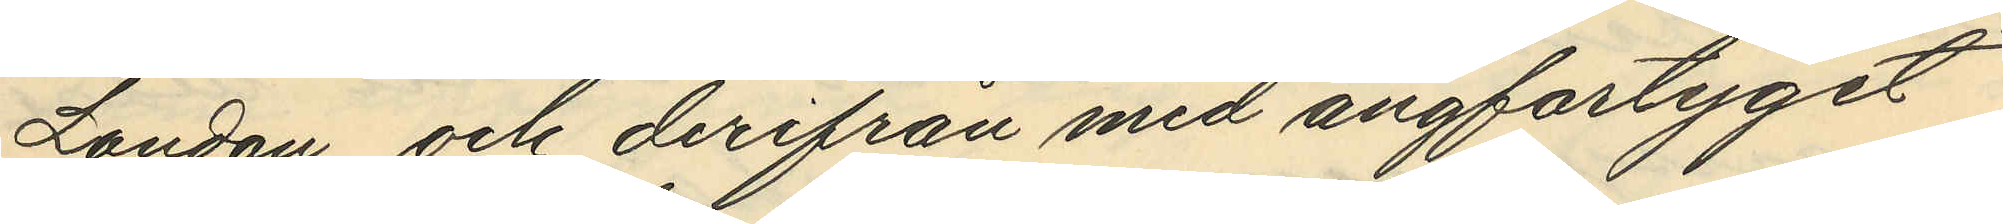London och derifrån med ångfartyget
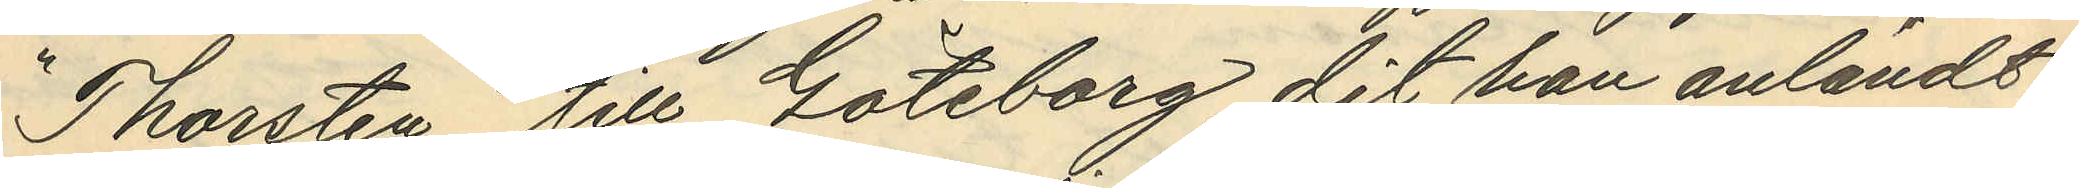"Thorsten" till Göteborg dit han anländt
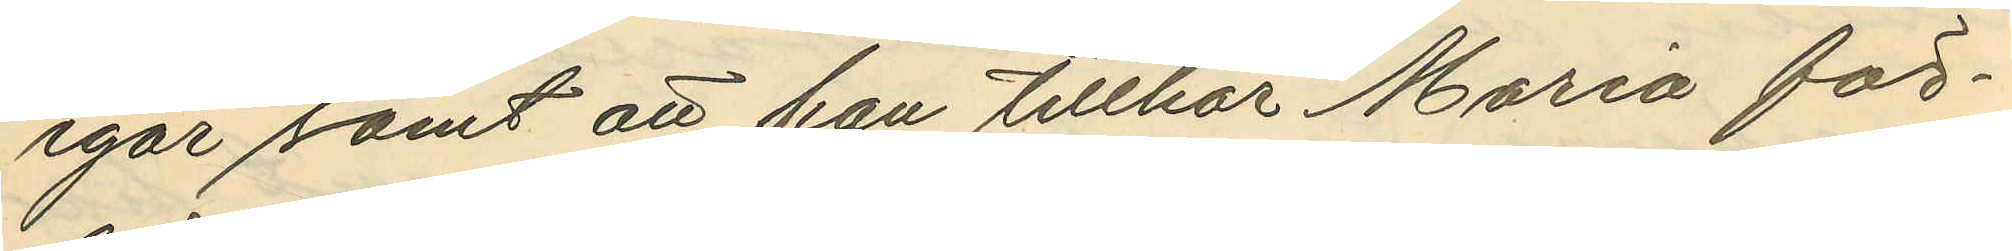igår samt att han tillhör Maria för¬
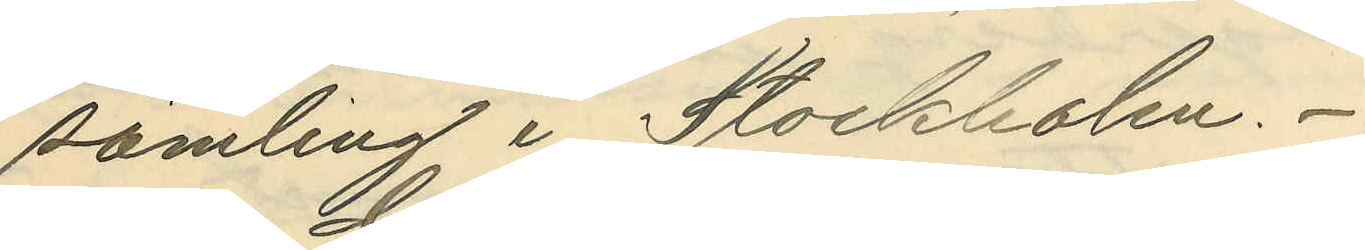samling i Stockholm.
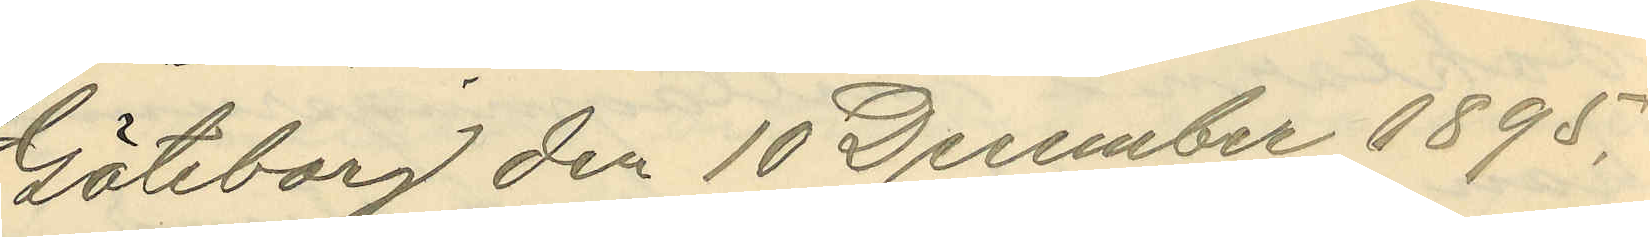Göteborg den 10 December 1895.
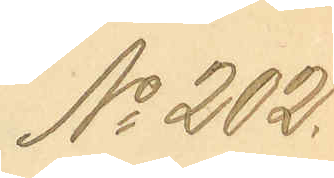No 202.
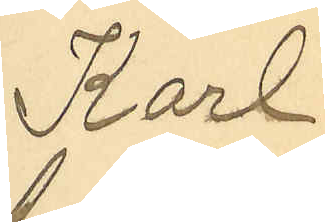Karl
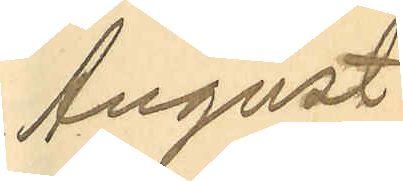August
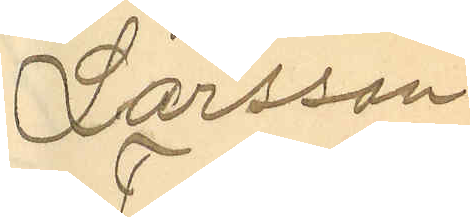Larsson
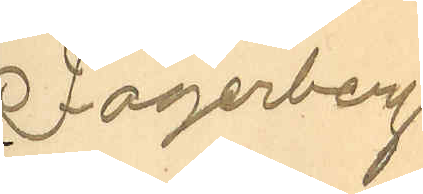Fagerberg
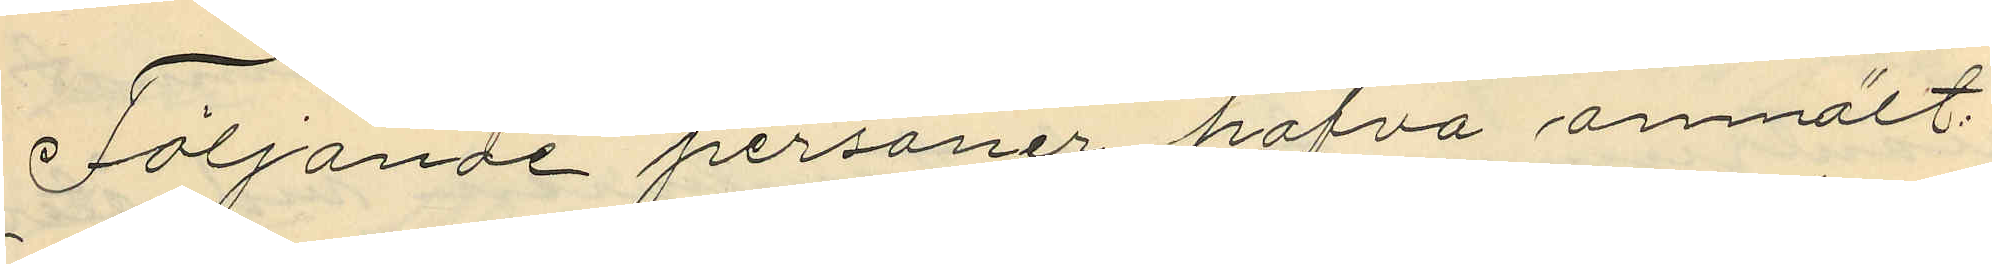Följande personer hafva anmält:
